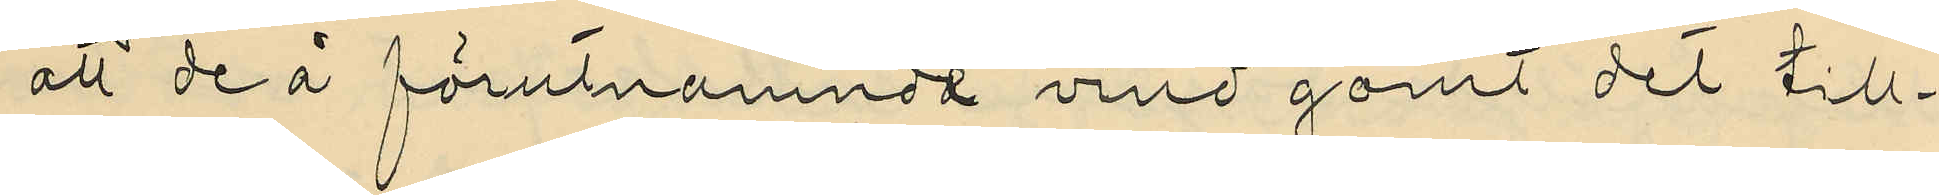att de å förutnamnda vind gömt det till¬
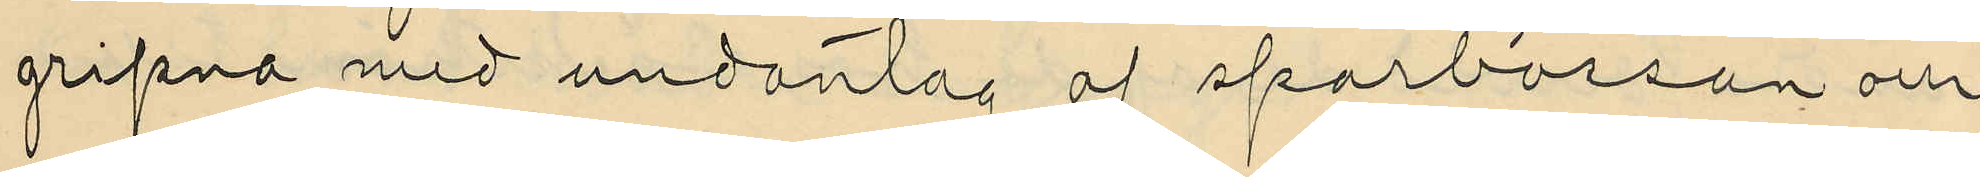gripna med undantag af sparbössan och
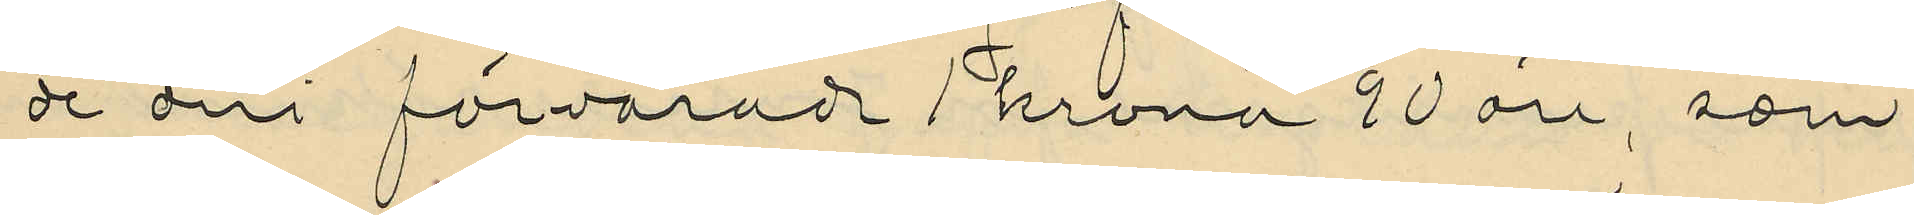de deri förvarade 1 krona 90 öre, som
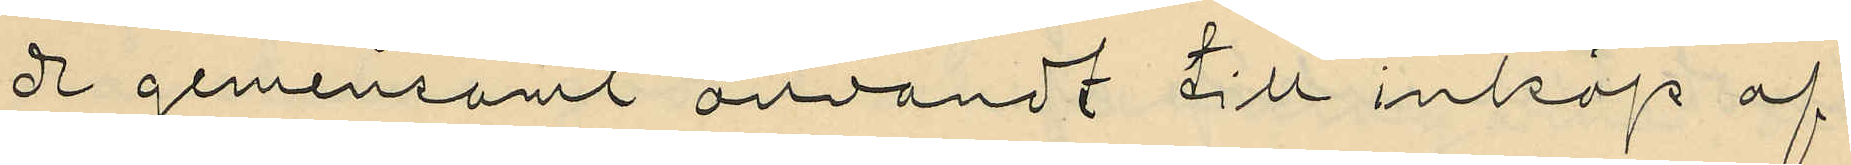de gemensamt användt till inköp af
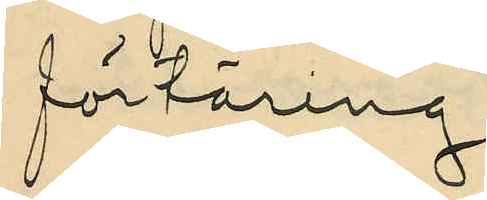förtäring;
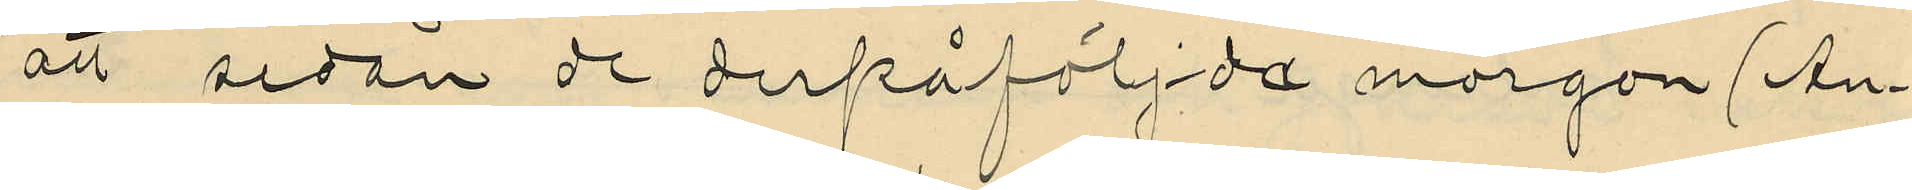att, sedan de derpåfölj:de morgon (An¬
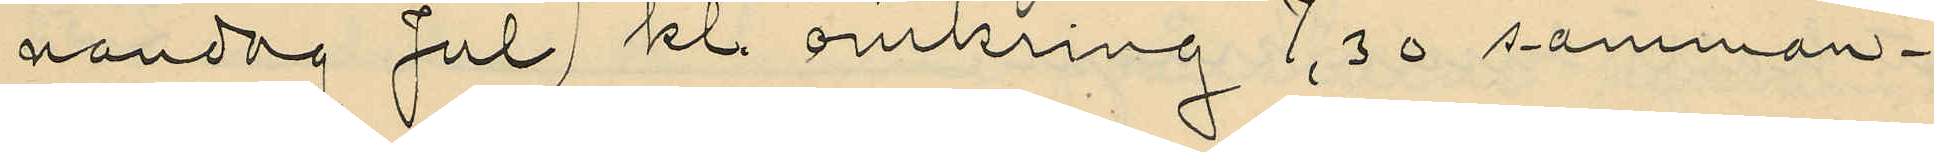nandag Jul) kl. omkring 7,30 samman¬
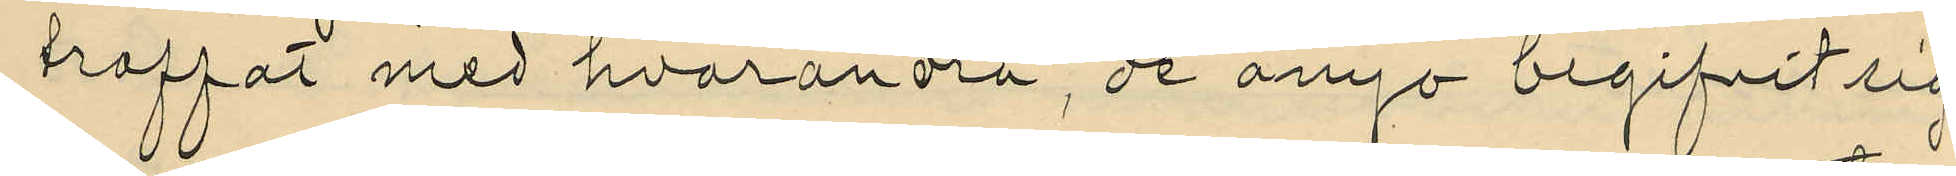traffat med hvarandra, de ånyo begifvit sig
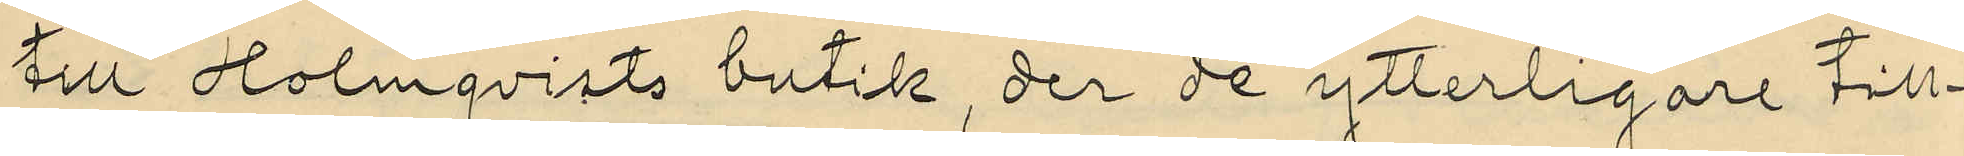till Holmqvists butik, der de ytterligare till¬
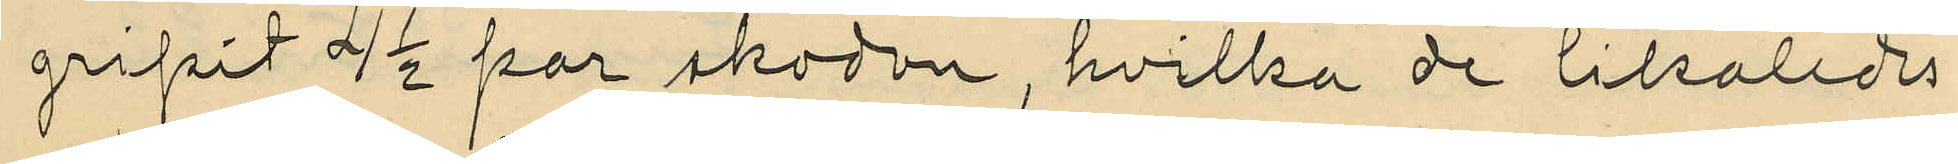gripit 4 1/2 par skodon, hvilka de likaledes
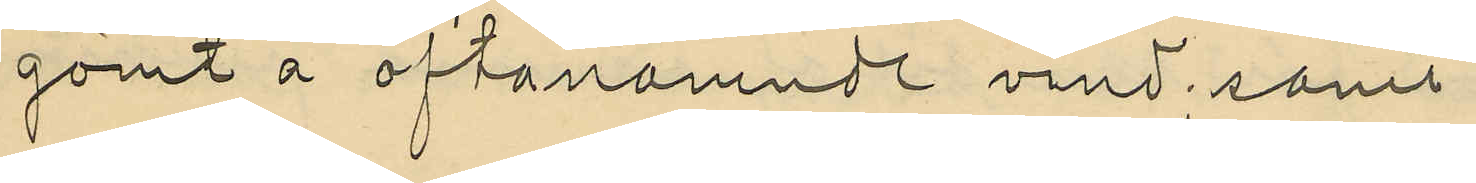gömt å ofvanamnde vind; samt
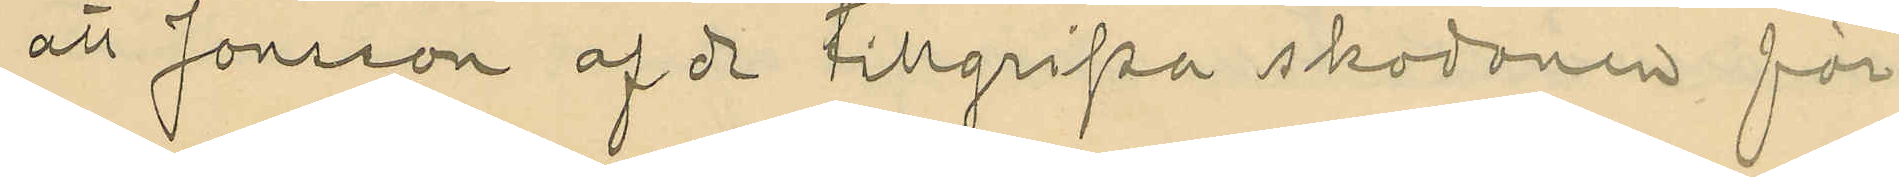att Jonsson af de tillgripa skodonen för
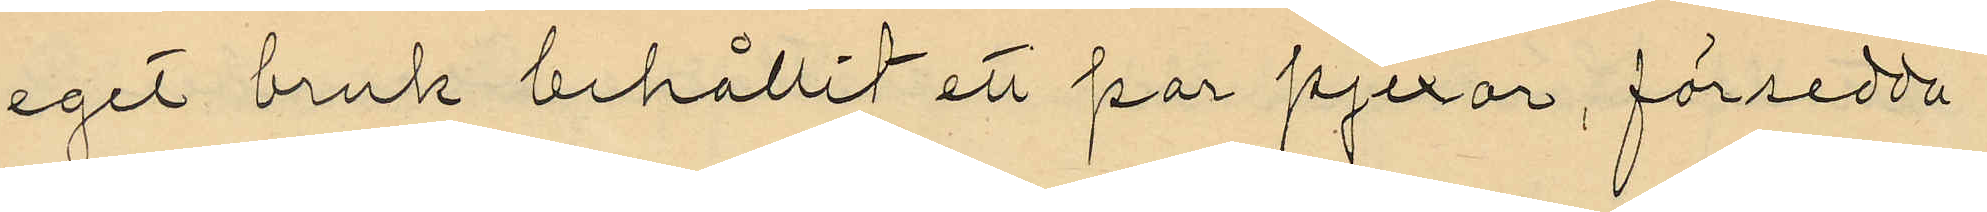eget bruk behållit ett par pjexor, försedda
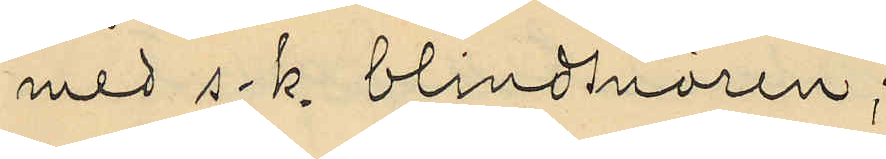med s. k. blindsnören;
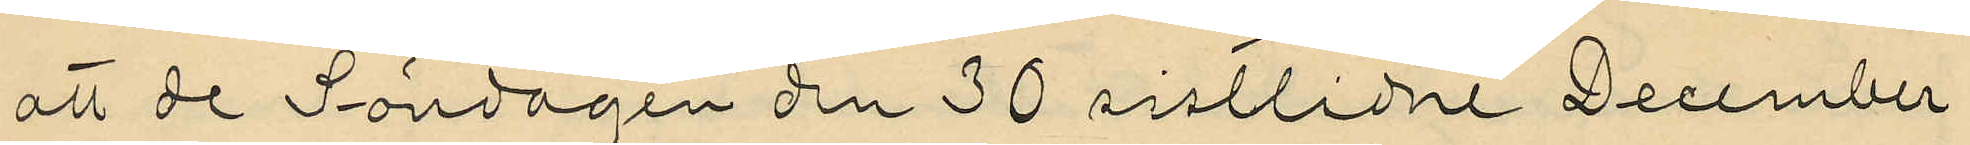att de Söndagen den 30 sistlidne December
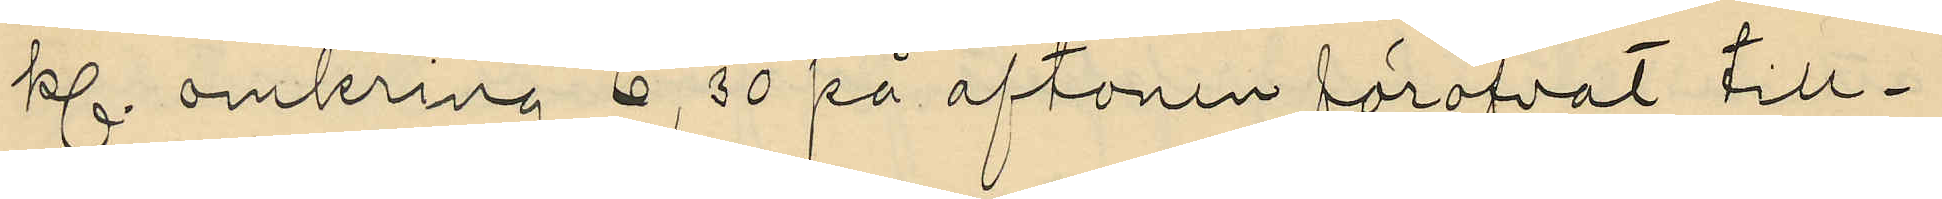kl. omkring 6,30 på aftonen föröfvat till¬
